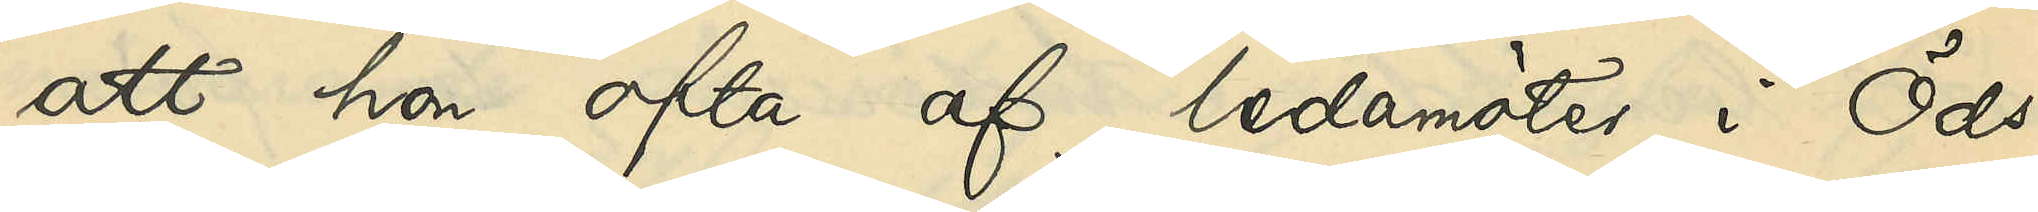att hon ofta af ledamöter i Öds¬
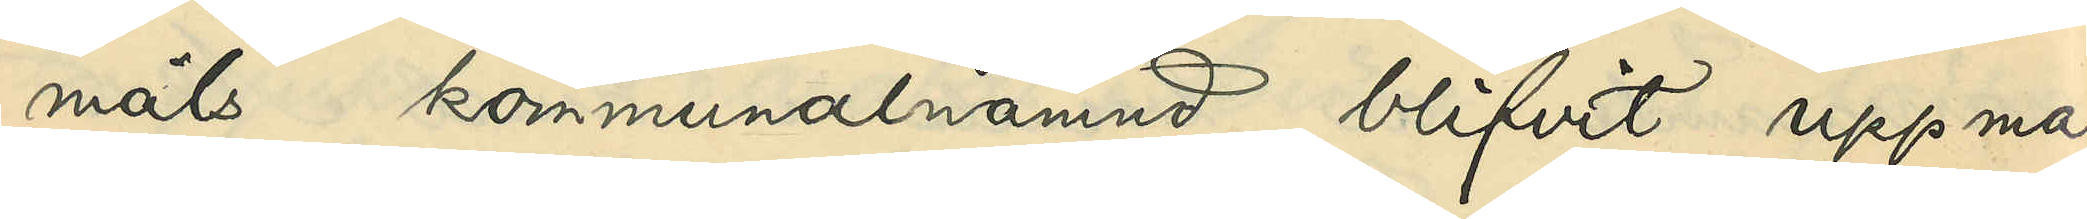måls kommunalnämnd blifvit uppma¬
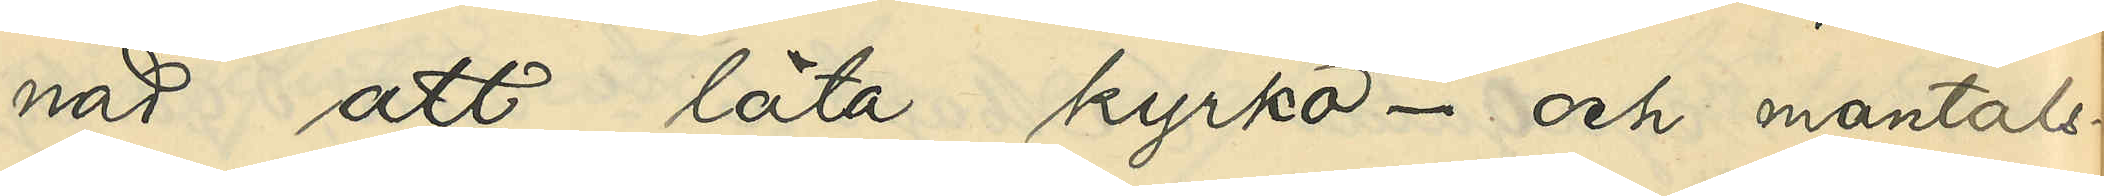nad att låta kyrko- och mantals¬
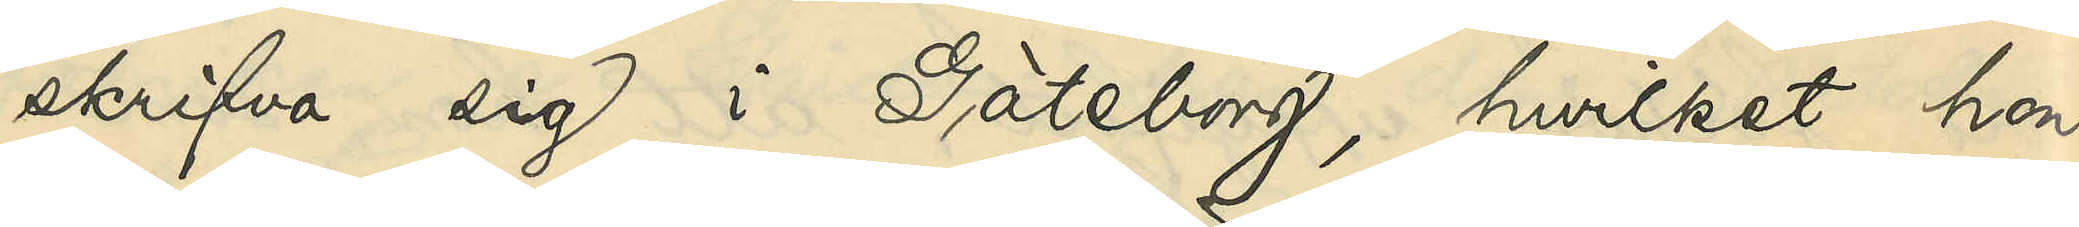skrifva sig i Göteborg, hvilket hon
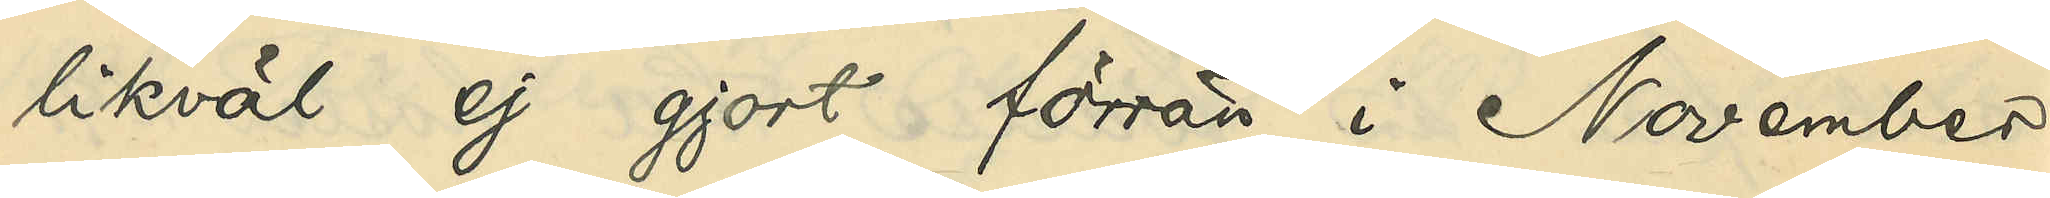likväl ej gjort förrän i November
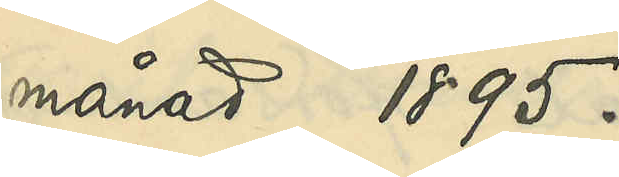månad 1895.
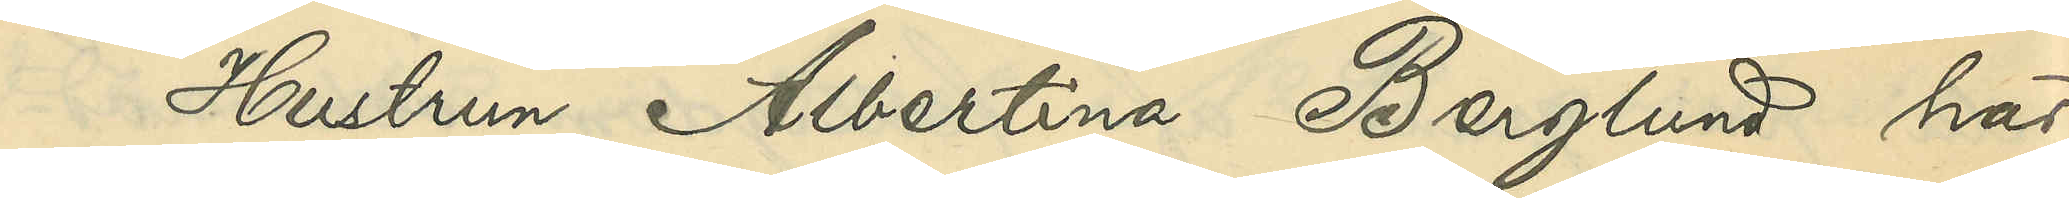Hustrun Albertina Berglund har
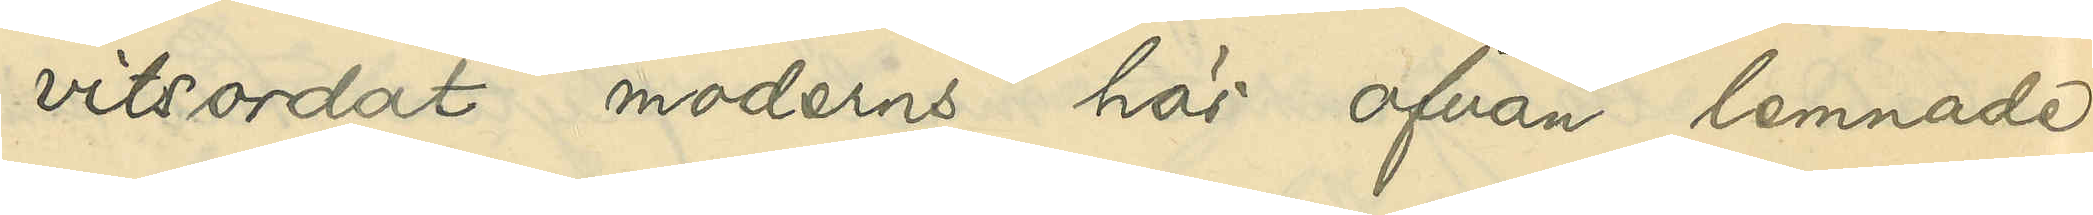vitsordat moderns här ofvan lemnade
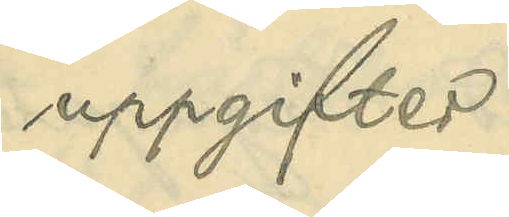uppgifter.
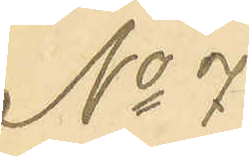No 7
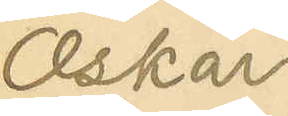Oskar
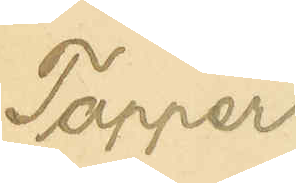Tapper
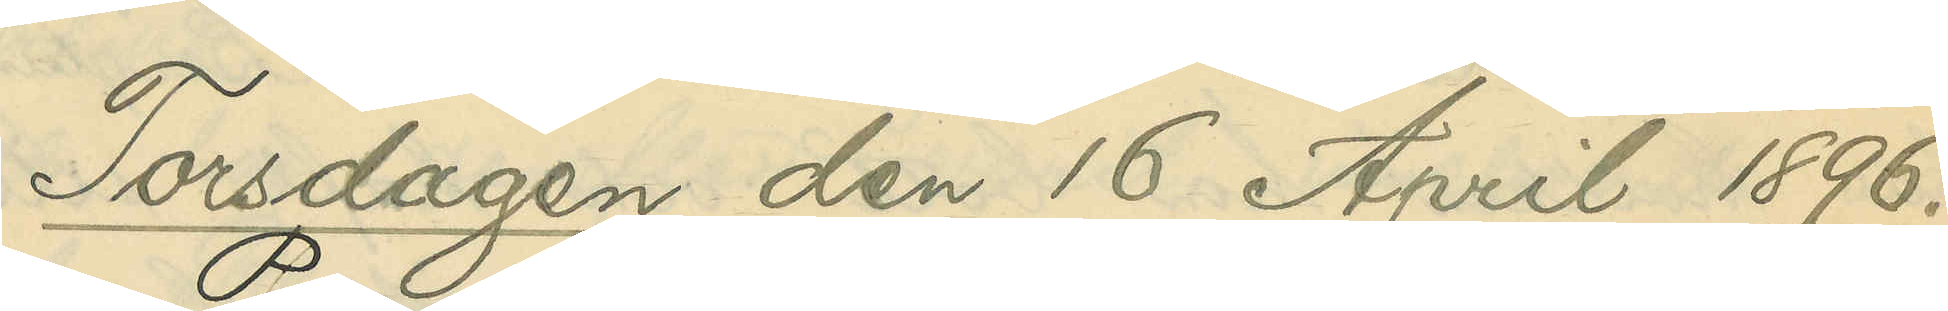Torsdagen den 16 April 1896.
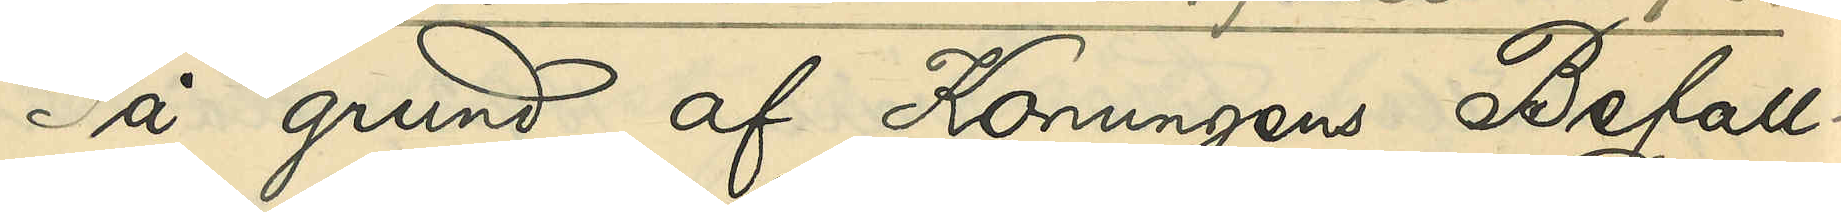På grund af Konungens Befall¬
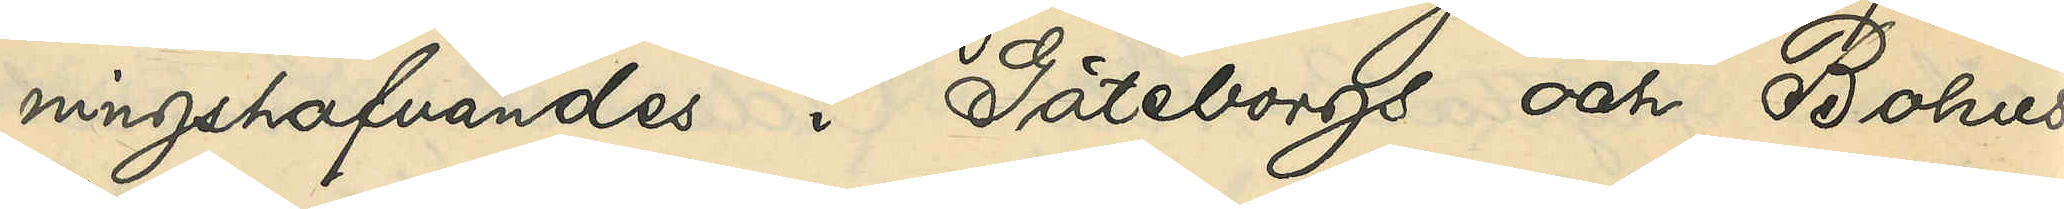ningshafvandes i Göteborgs och Bohus
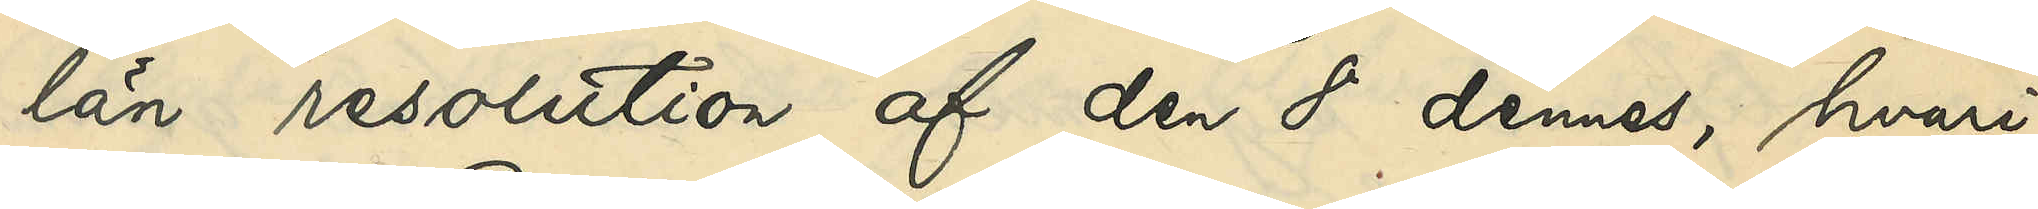län resolution af den 8 dennes, hvari¬
